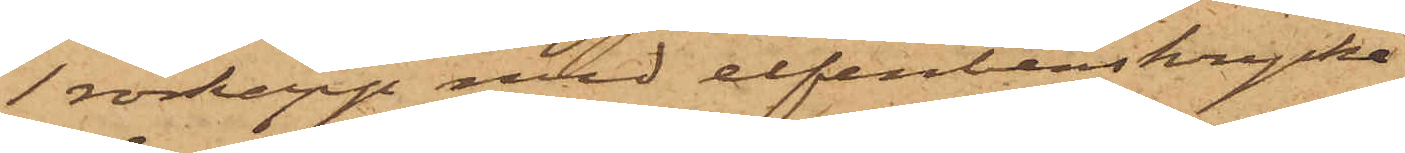1 rörkäpp med elfenbenskrycka
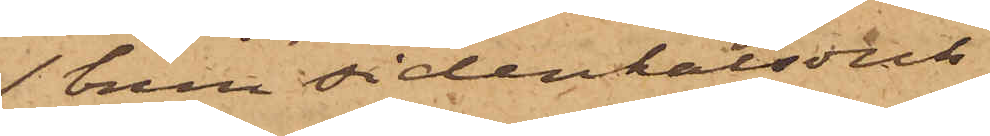1 brun sidenhalsduk
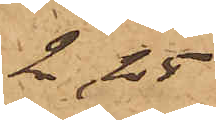2,25
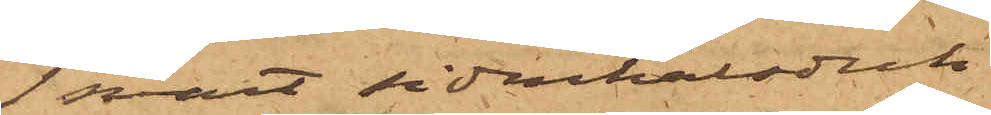1 svart sidenhalsduk
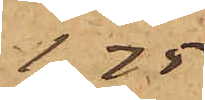1,75
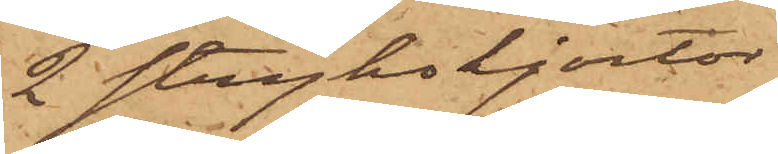2 strykskjortor
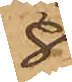8
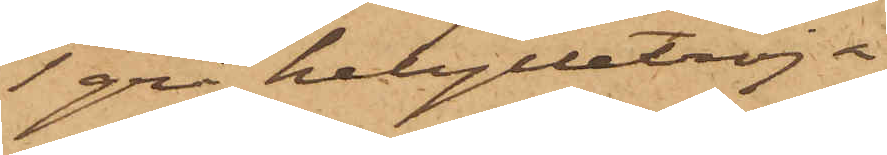1 grå helylletröja
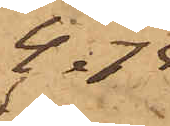4.75
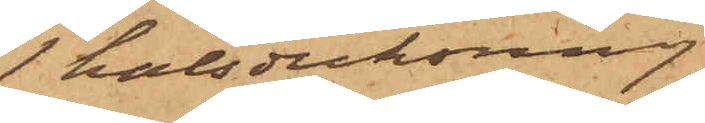1 halsduksring
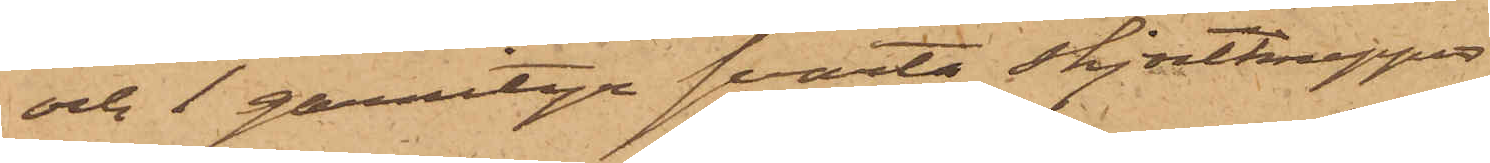och 1 garnityr svarta skjortknappar
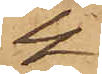4
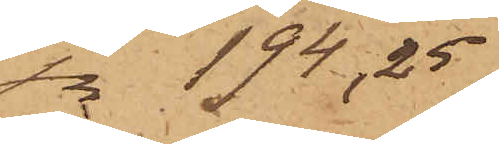sa 194,25
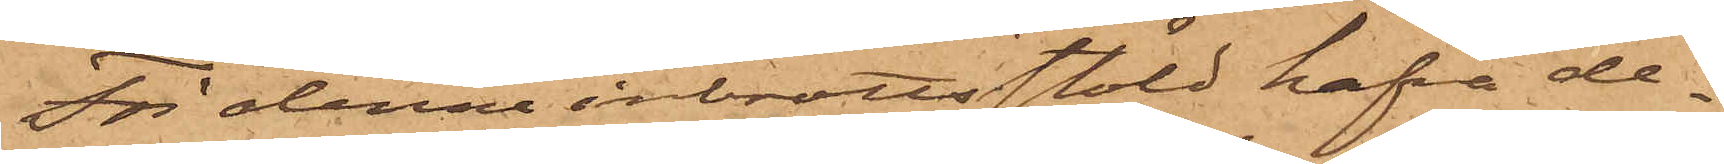För denna inbrottsstöld hafva de¬
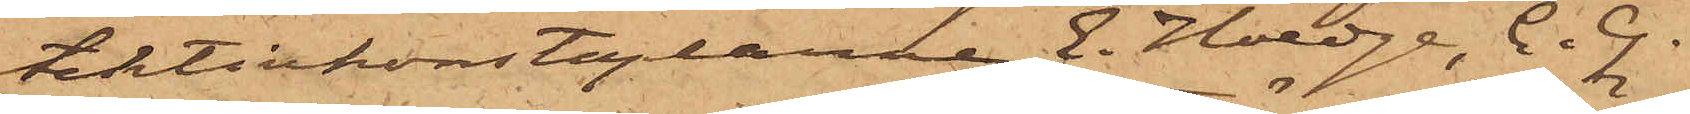tektivkonstaplarne E. Hoedge, C. G.
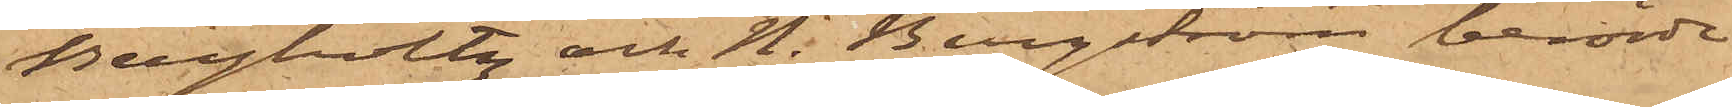Bergholtz och N. Bergström berörde
